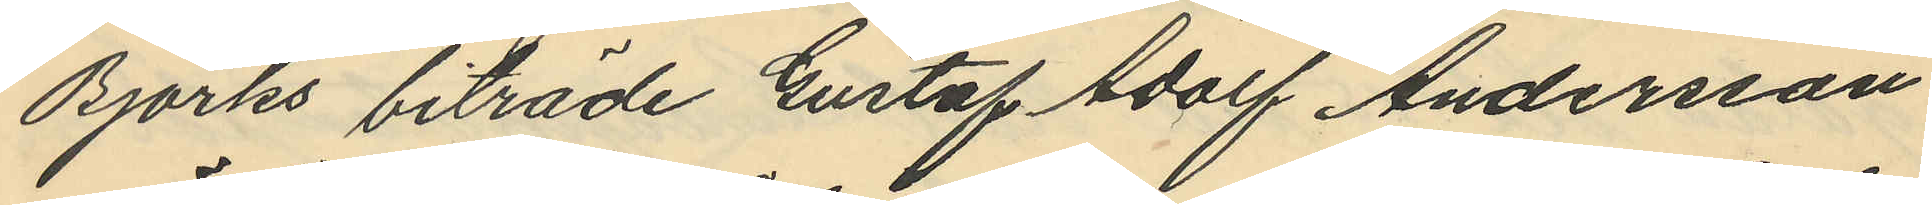Björks biträde Gustaf Adolf Andersson
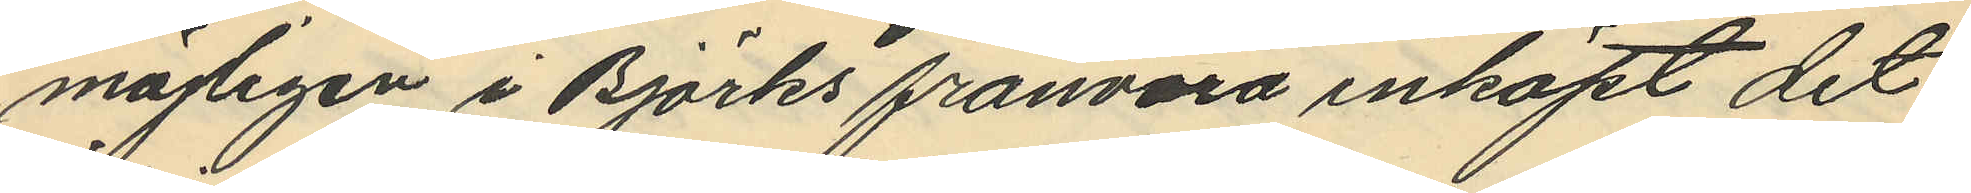möjligen i Björks frånvaro inköpt det
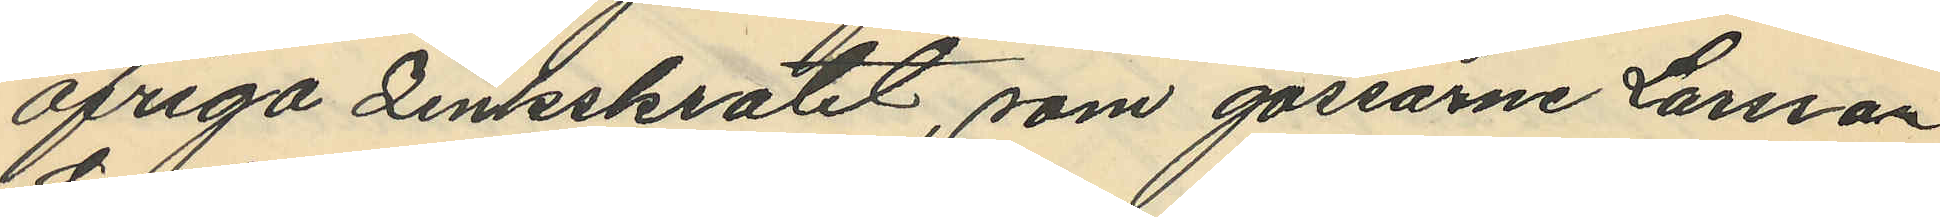öfriga zinkskrotet, som gossarne Larsson
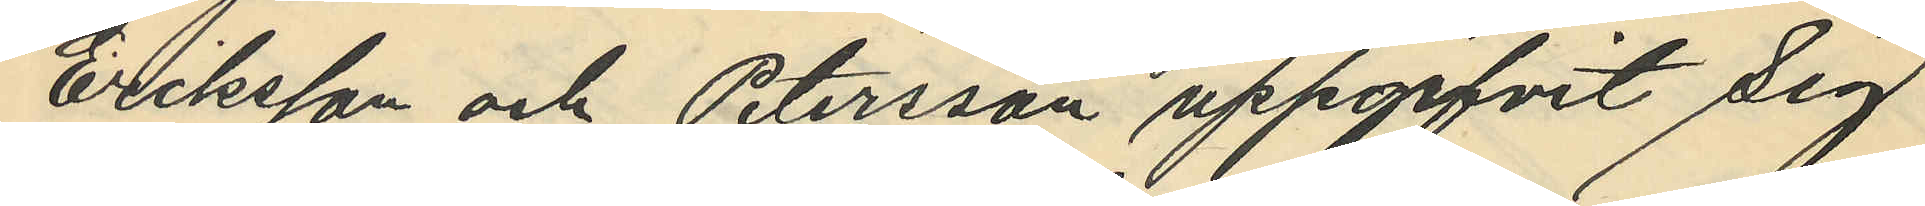Eriksson och Petersson uppgifvit sig
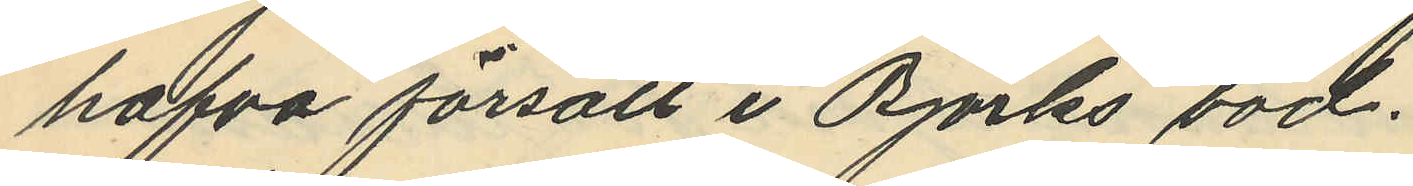hafva försålt i Björks bod.
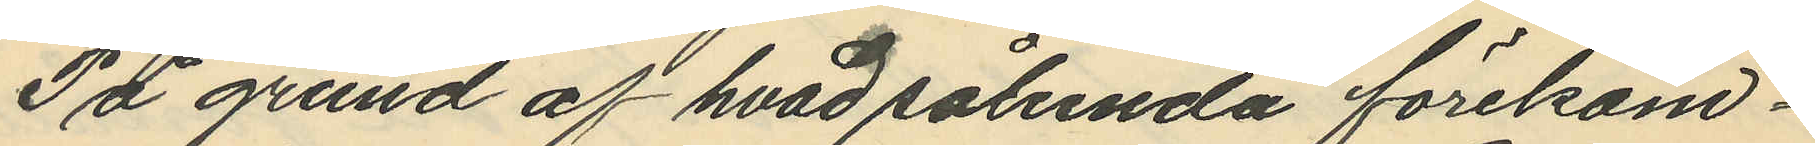På grund af hvad sålunda förekom¬
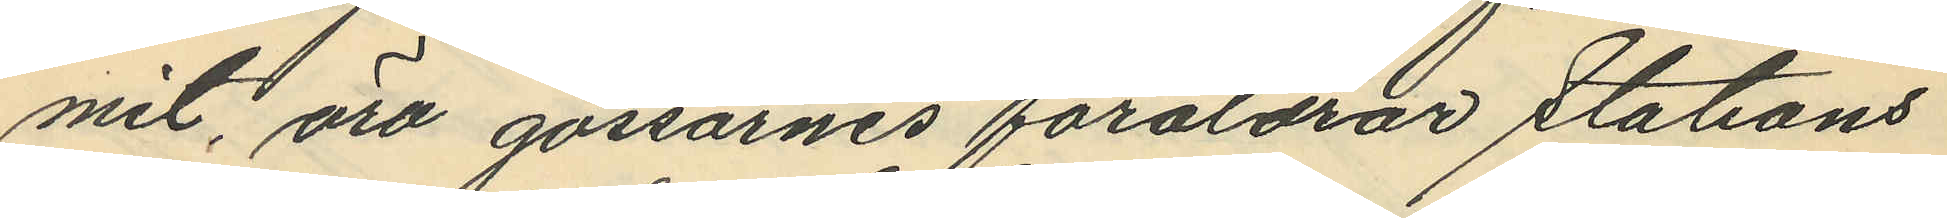mit, äro gossarnes föräldrar stations
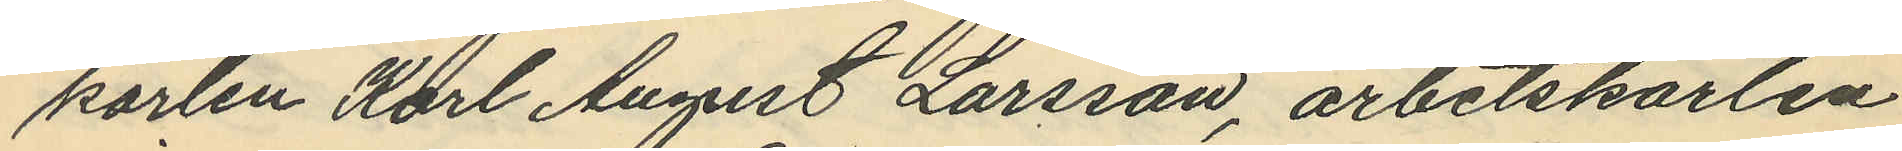karlen Karl August Larsson, arbetskarlen
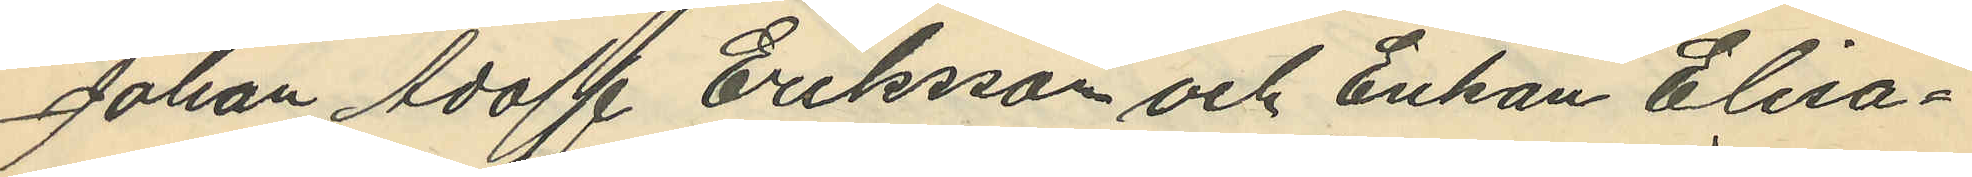Johan Adolf Eriksson och Enkan Elisa¬
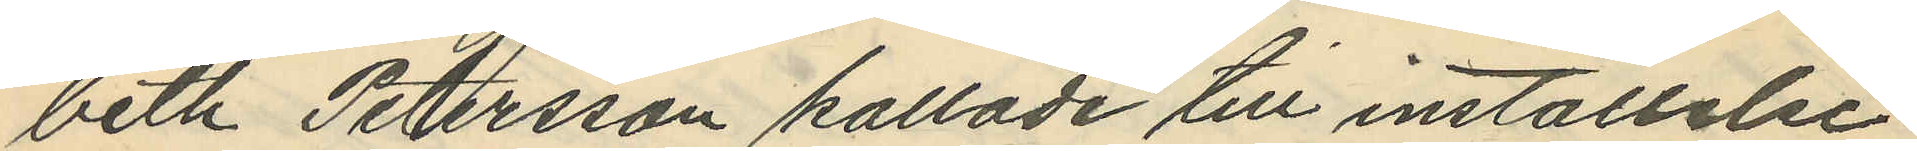beth Petersson kallade till inställelse
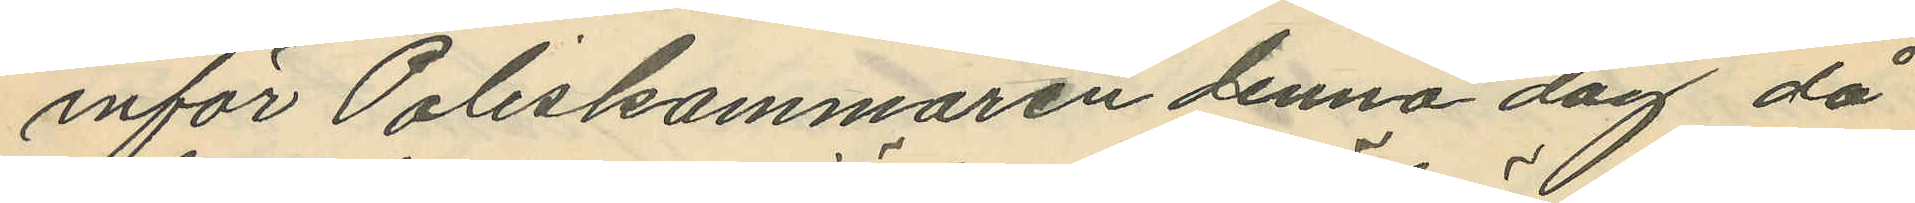inför Poliskammaren denna dag då
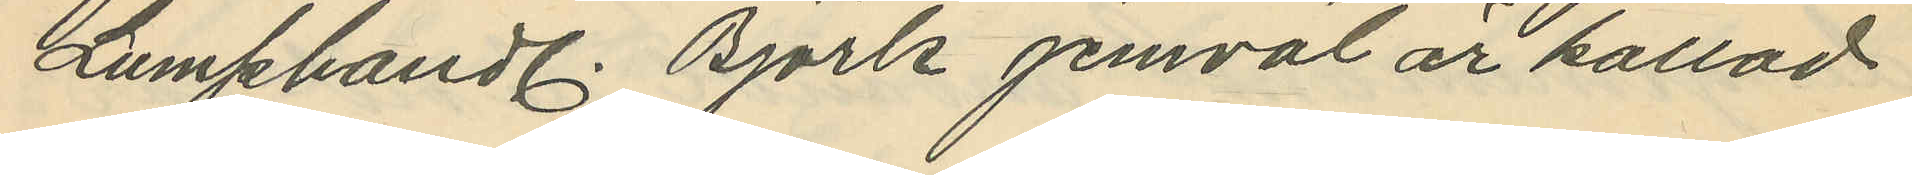Lumphandl. Björk jemväl är kallad
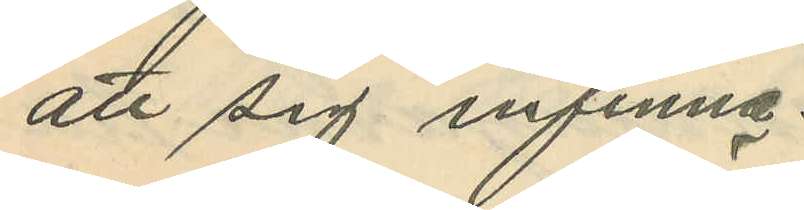att sig infinna.
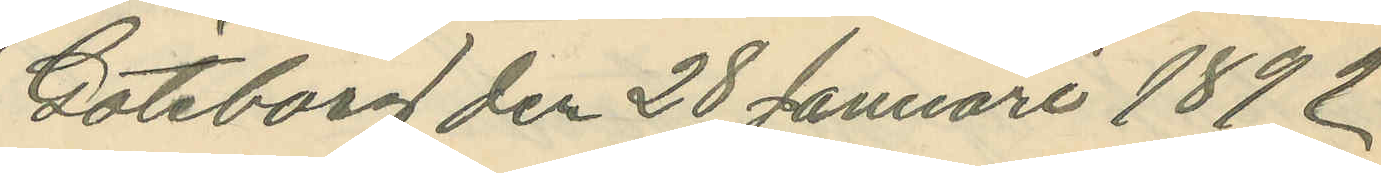Göteborg den 28 Januari 1892.
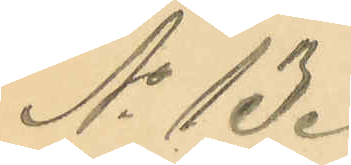No 13.
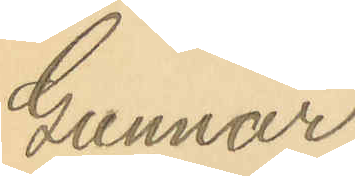Gunnar
